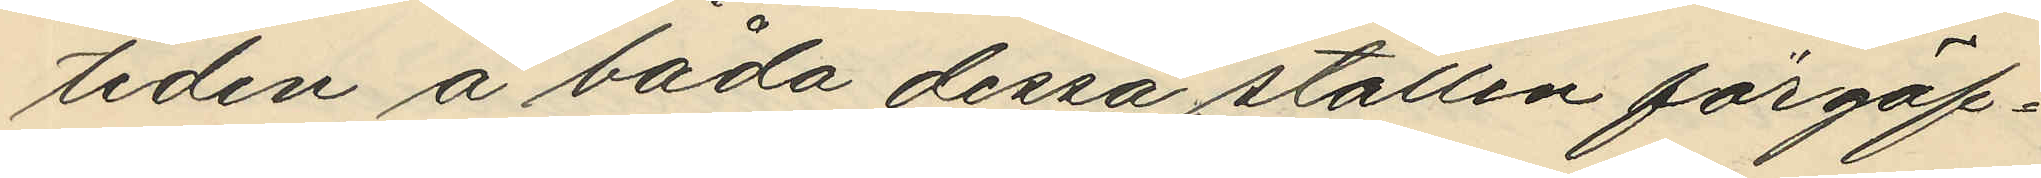tiden å båda dessa ställen förgäf¬
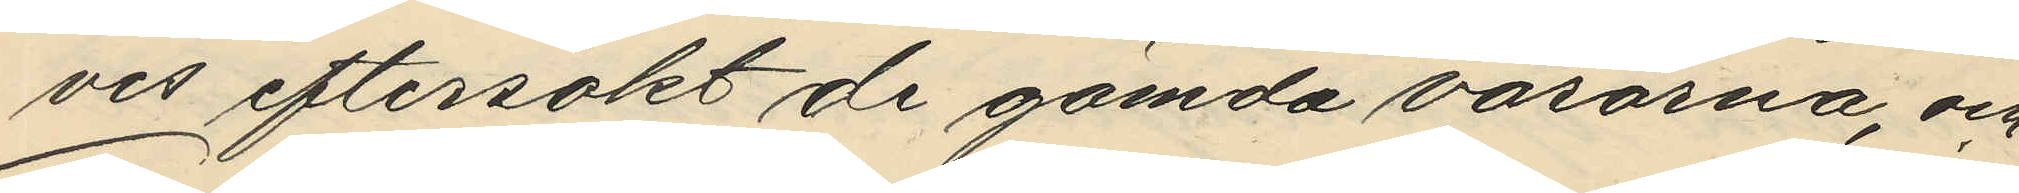ves eftersökt de gömda varorna, och
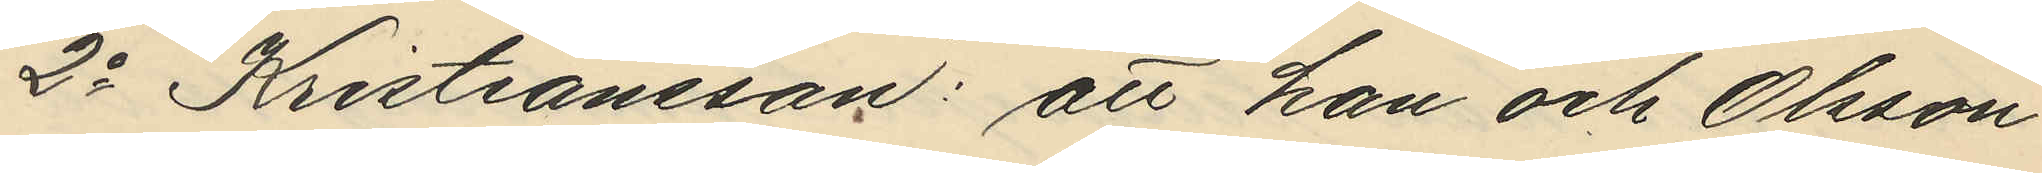2o Kristiansson: att han och Olsson
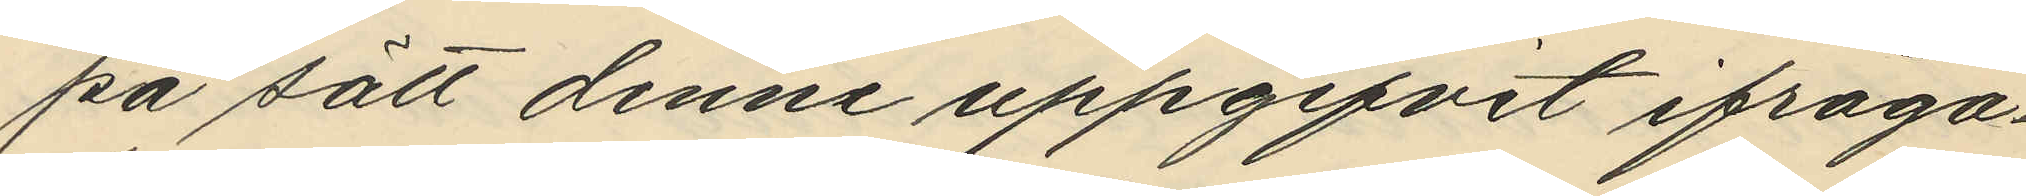på sätt denne uppgifvit ifråga¬
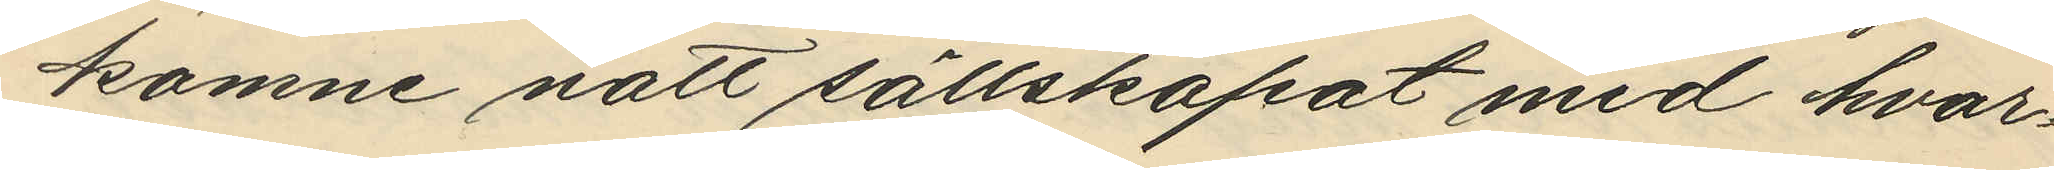komne natt sällskapat med hvar¬
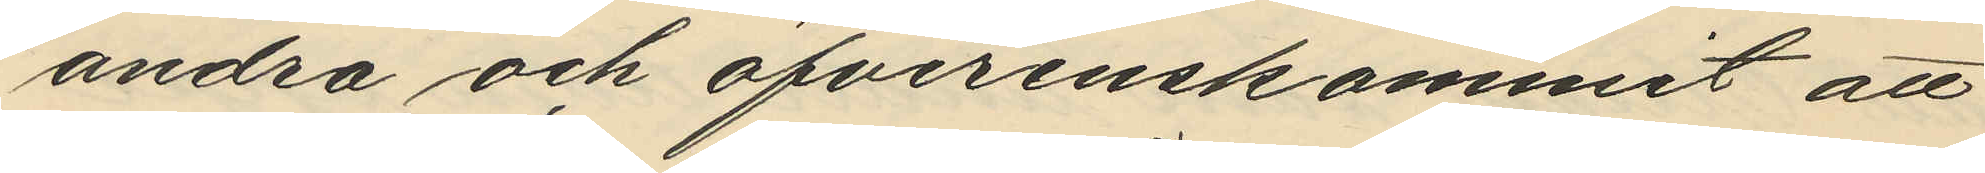andra och öfverenskommit att
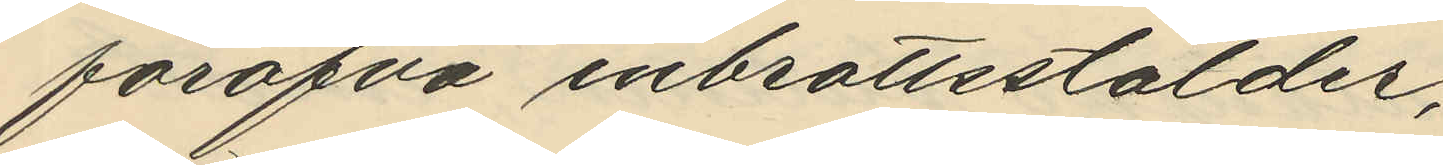föröfva inbrottsstölder;
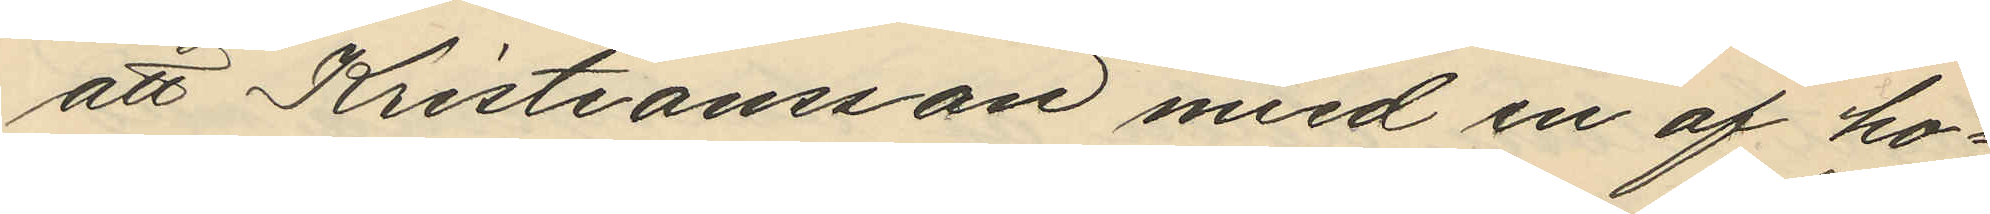att Kristiansson med en af ho¬
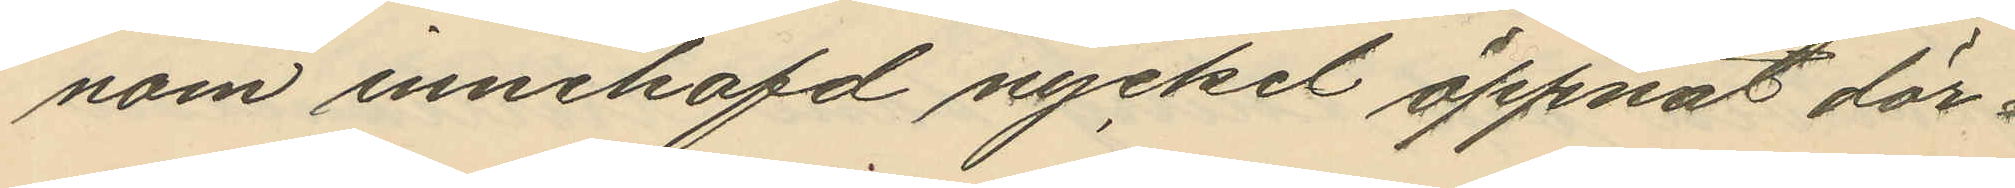nom innehafd nyckel öppnat dör¬
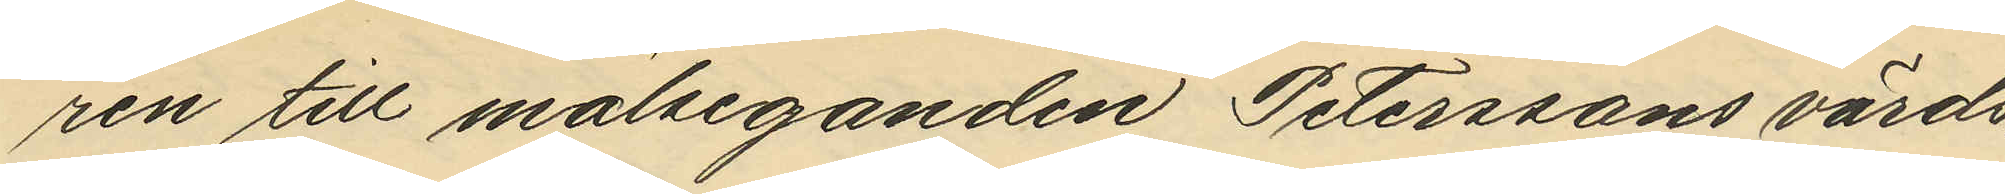ren till målseganden Peterssons värds¬
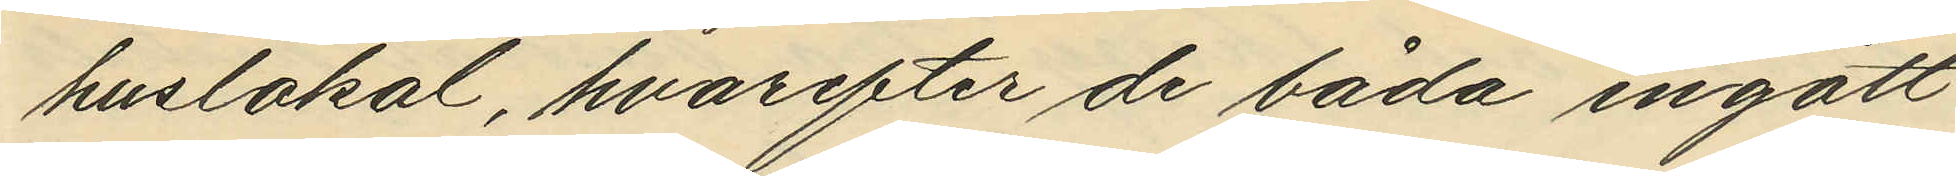huslokal, hvarefter de båda ingått
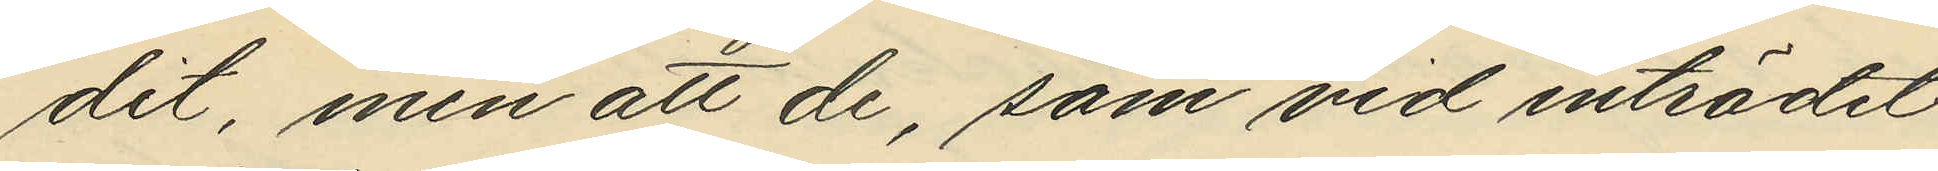dit, men att de, som vid inträdet
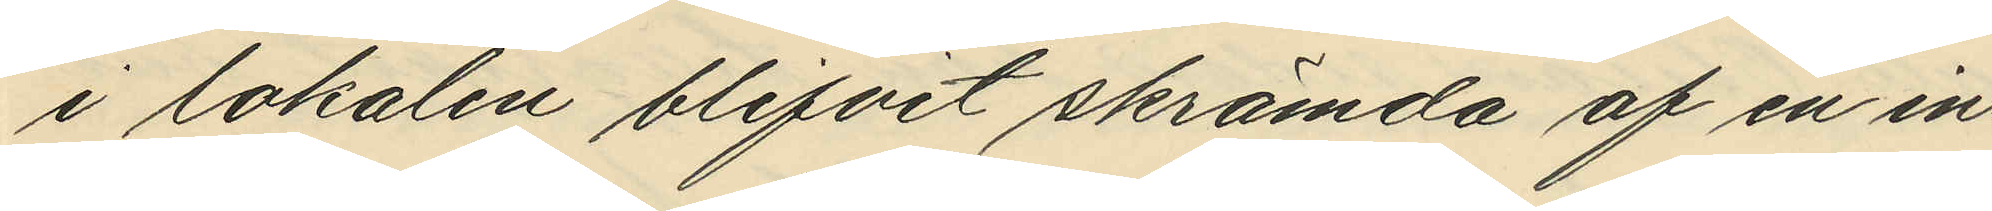i lokalen blifvit skrämda af en in¬
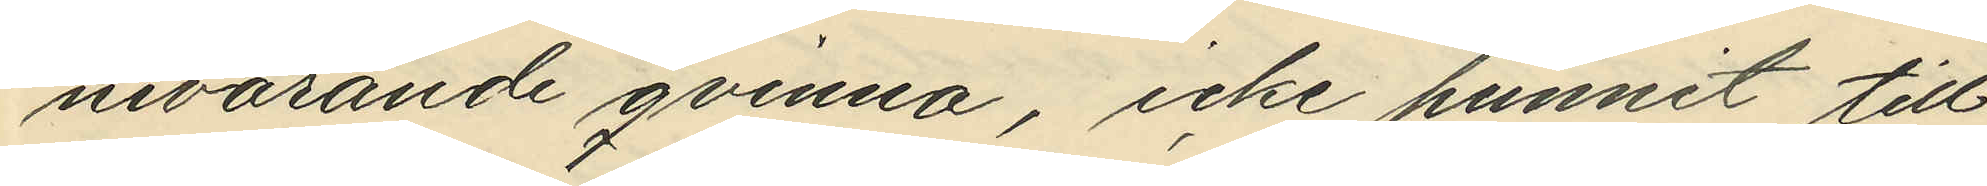nevarande qvinna, icke hunnit till¬
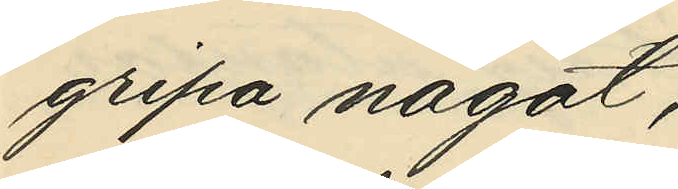gripa något;
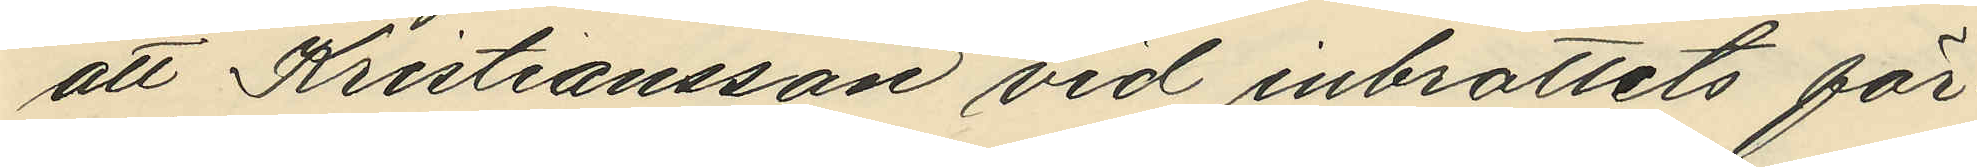att Kristiansson vid inbrottets för¬
